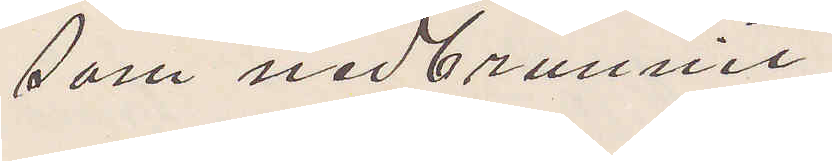som nedbrunnit.
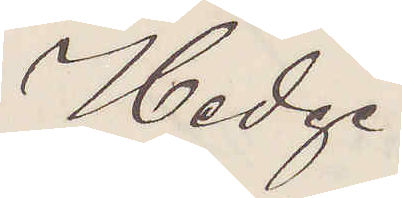Hedge
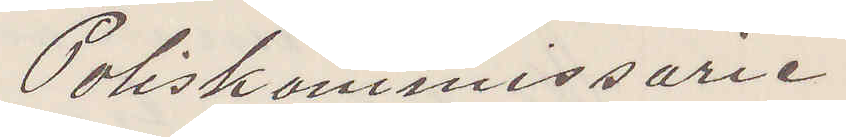Poliskommissarie
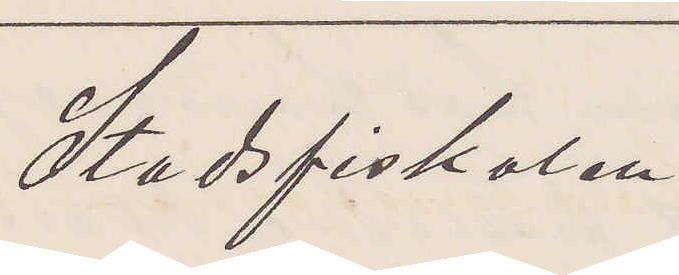Stadsfiskalen
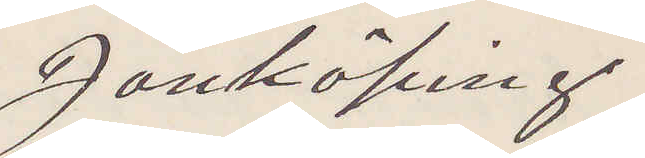Jönköping.
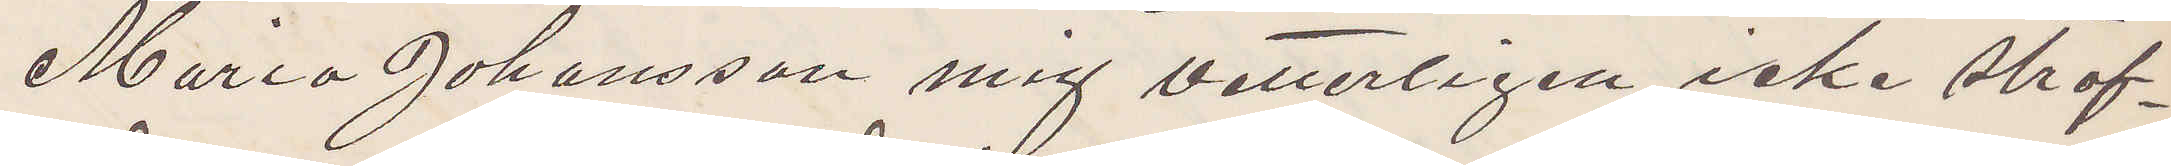Maria Johansson mig vetterligen icke straf¬
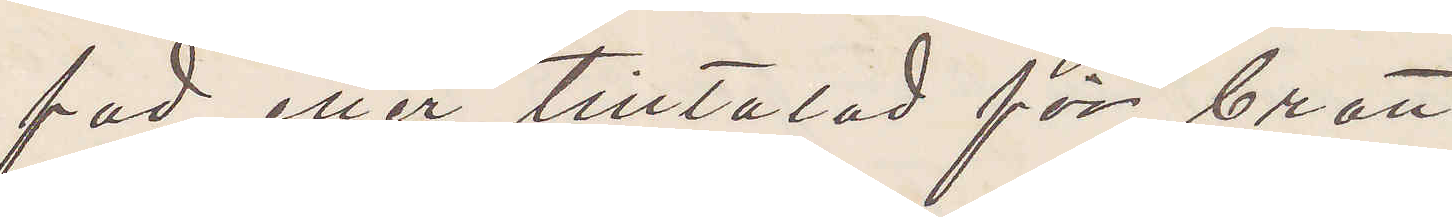fad eller tilltalad för brott.
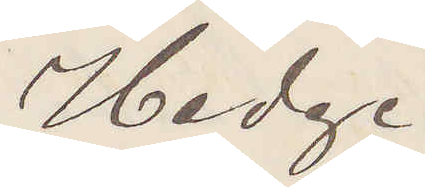Hedge
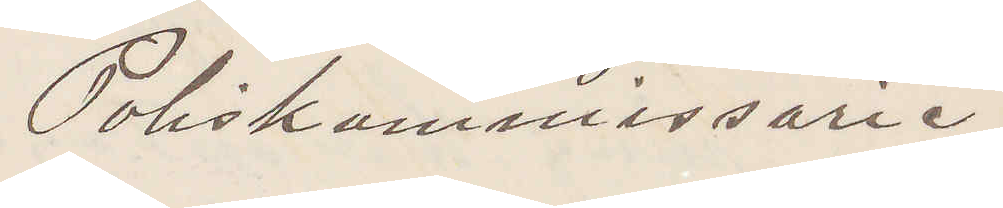Poliskommissarie
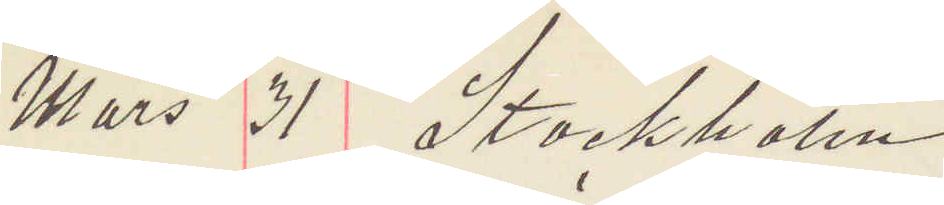Mars 31 Stockholm
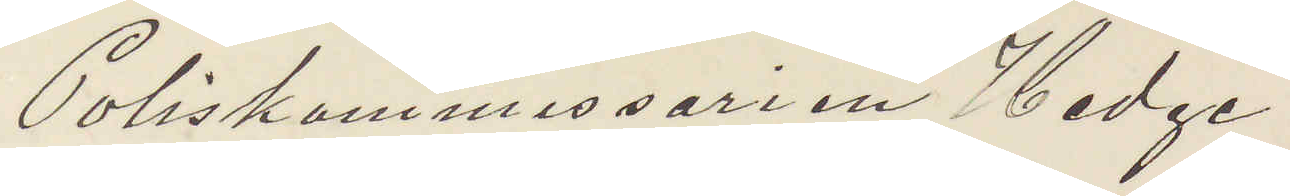Poliskommissarien Hedge
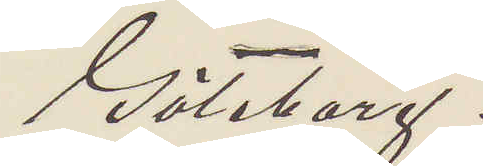Göteborg.
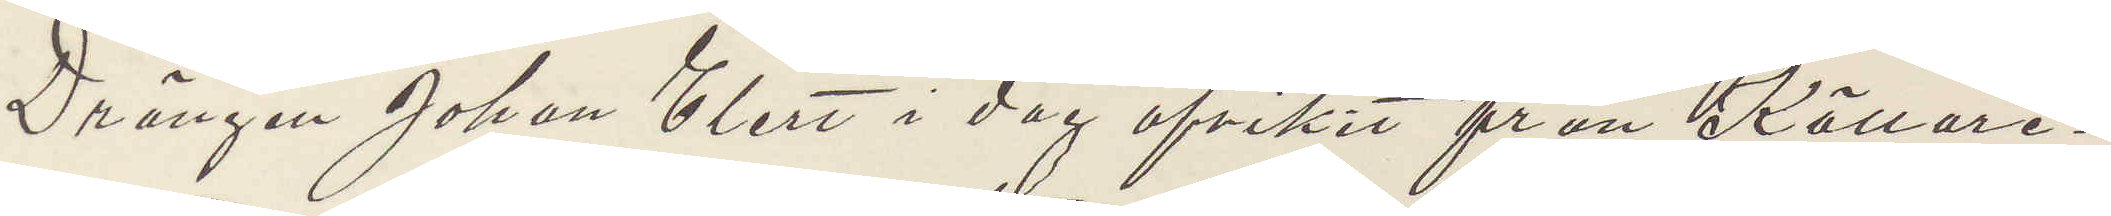Drängen Johan Elert i dag afvikit från Källare¬
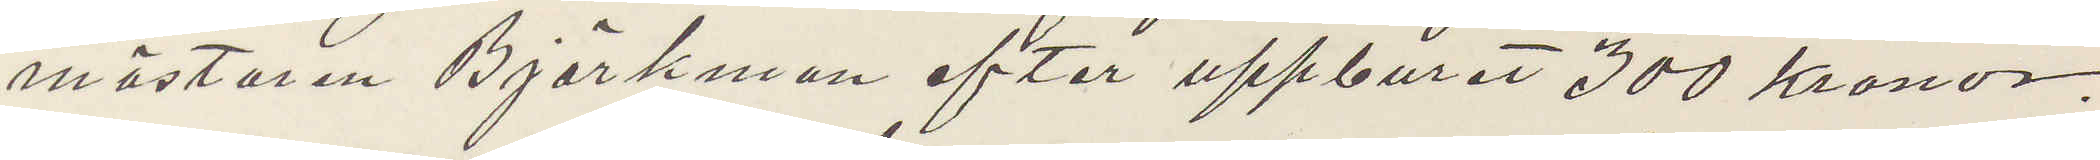mästaren Björkman efter uppburit 300 kronor,
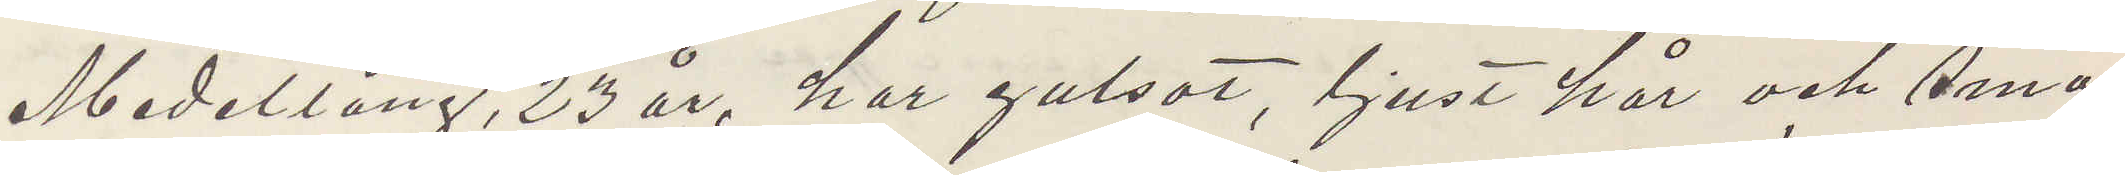Medellång, 23 år, har gulsot, ljust hår och små
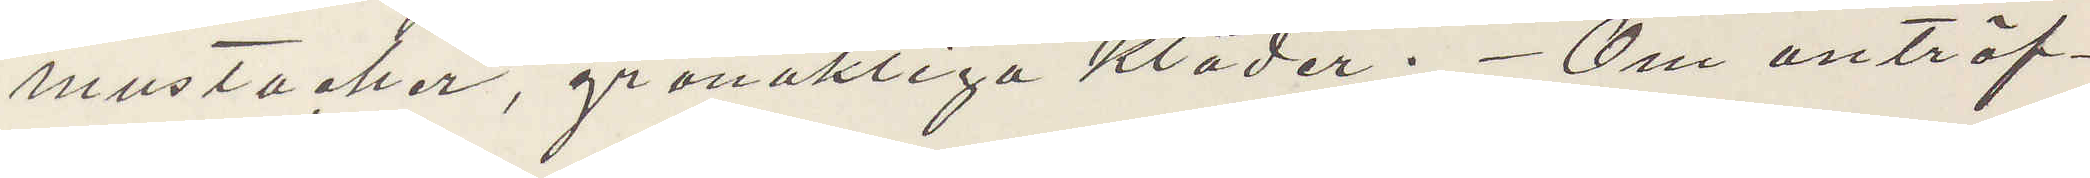mustacher, grönaktiga kläder. Om anträf¬
